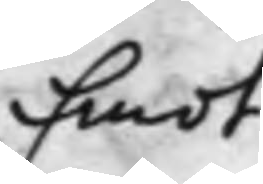Emot
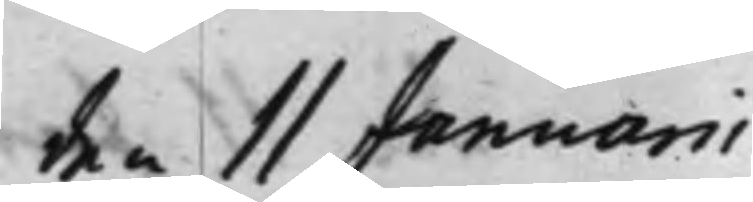den 11 Januarii
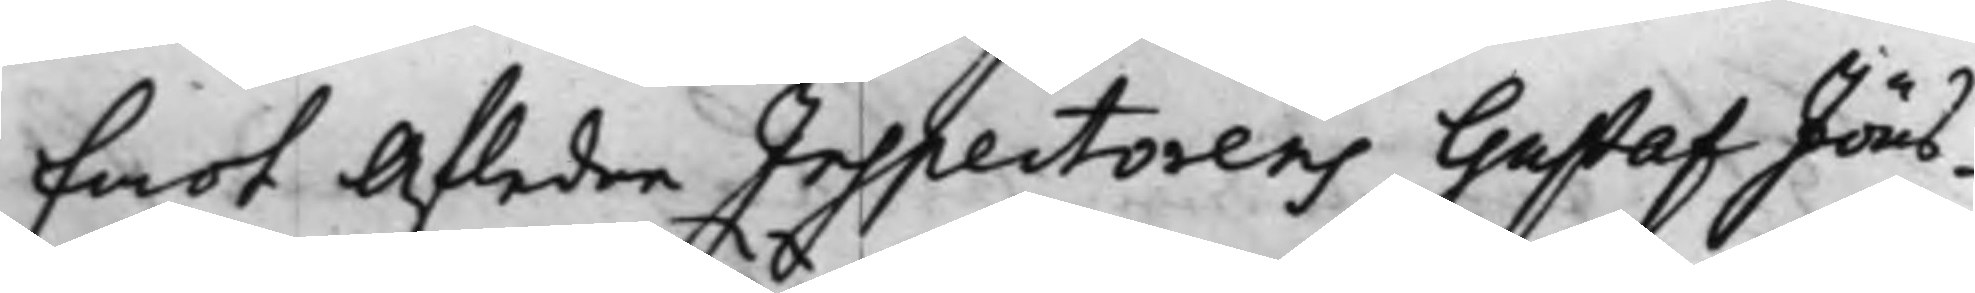Emot Afledne Inspectorens Gustaf Jöns¬
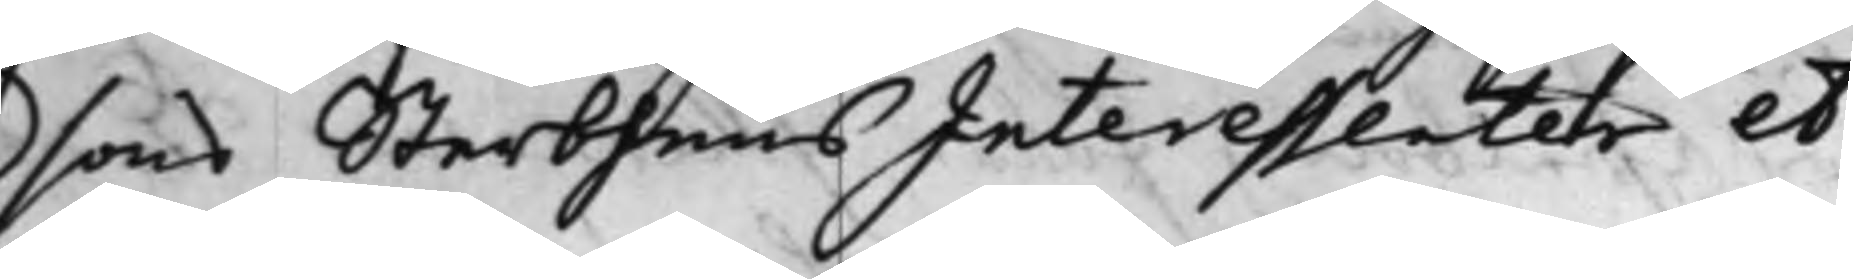sons SterbhuusInteressenter et
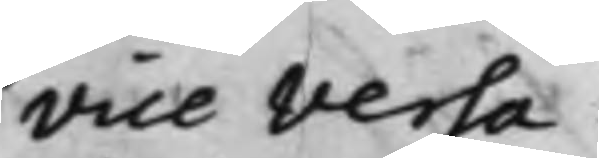vice versa.
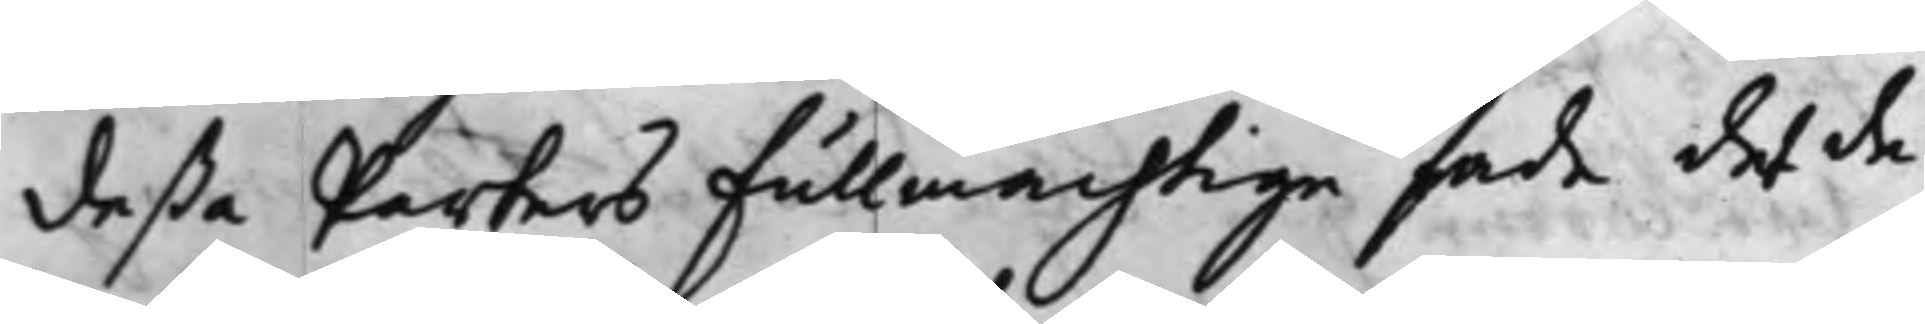Deßa Parters Fullmächtige sade det de
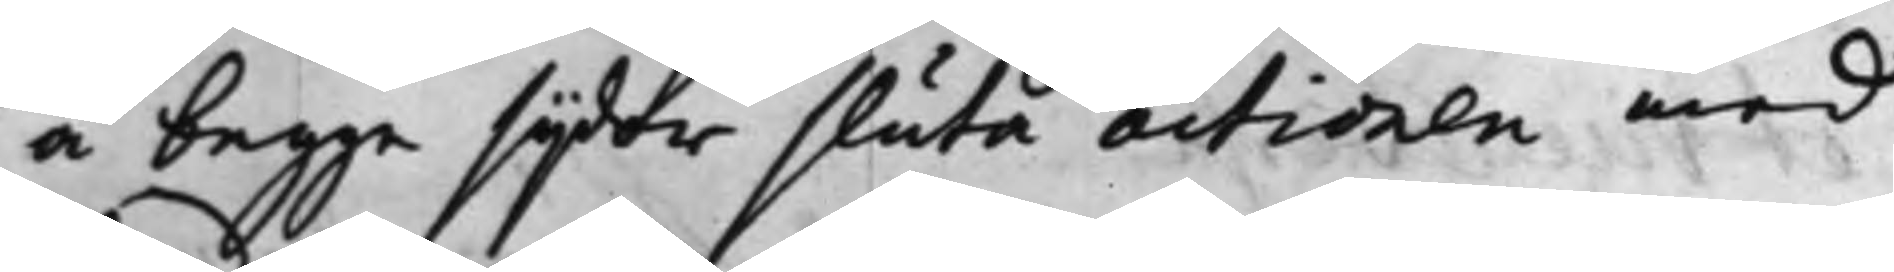å begge sijdor sluta actionen med
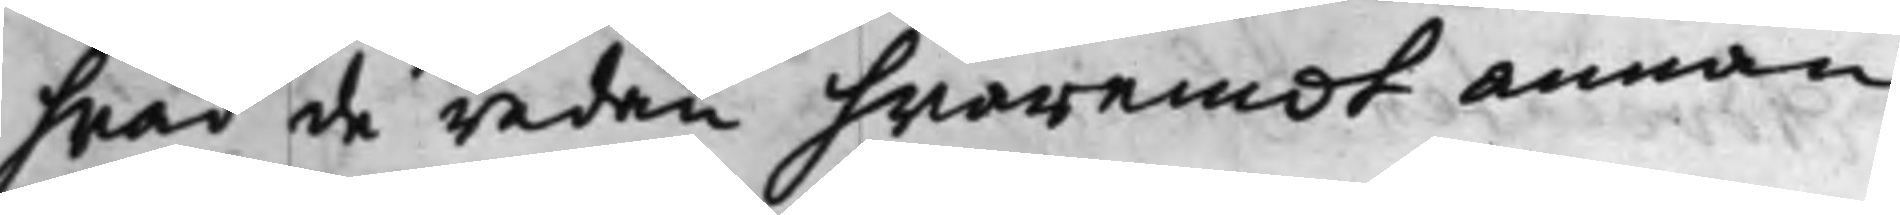hwad de redan hwaremot annan
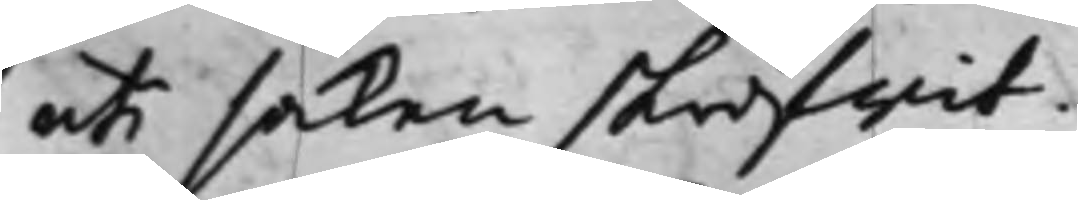uti saken skrifwit.
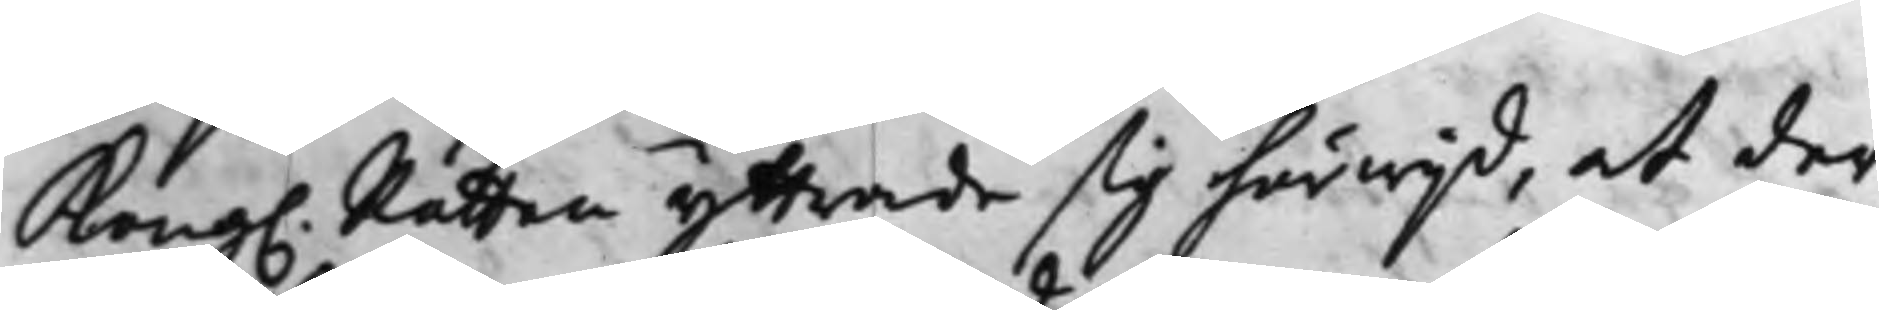Kong. Rätten yttrade sig härwijd, at der
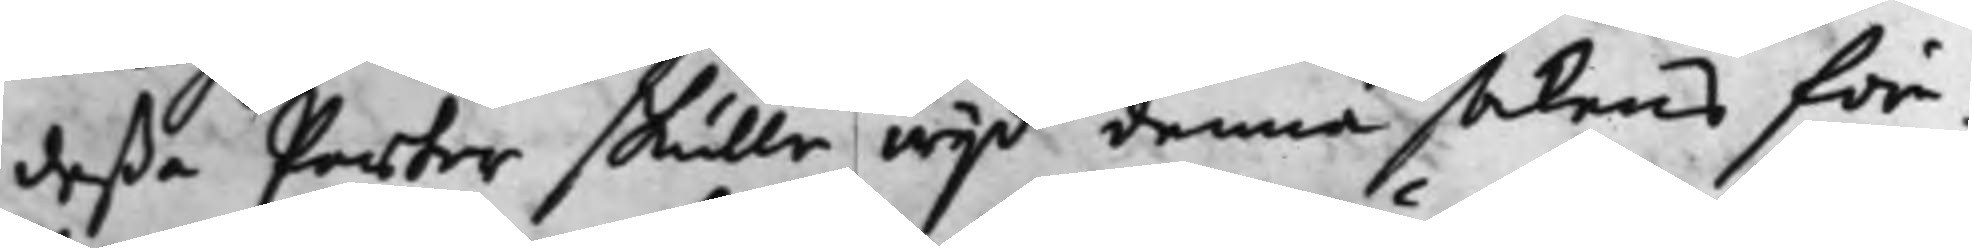deßa Parter skulle wijd denna sakens före¬
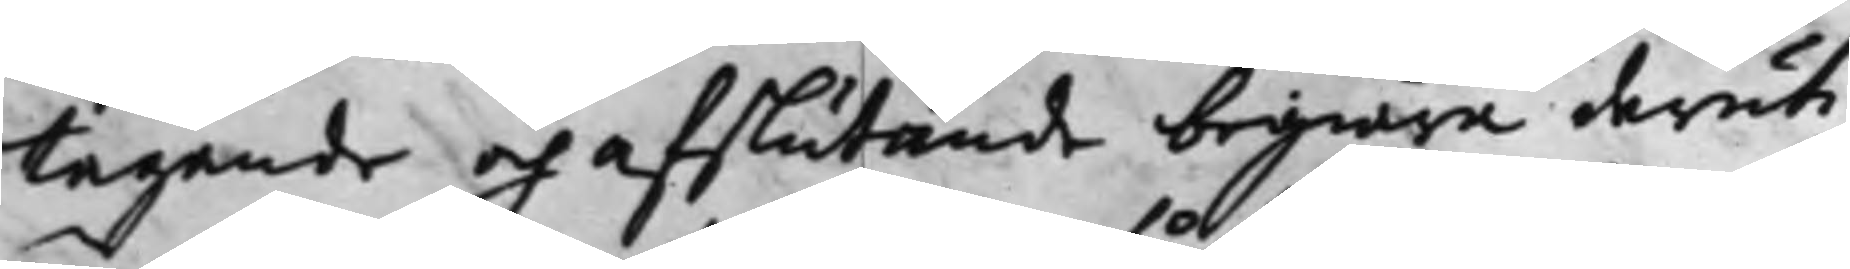tagande och afslutande begiära deruti
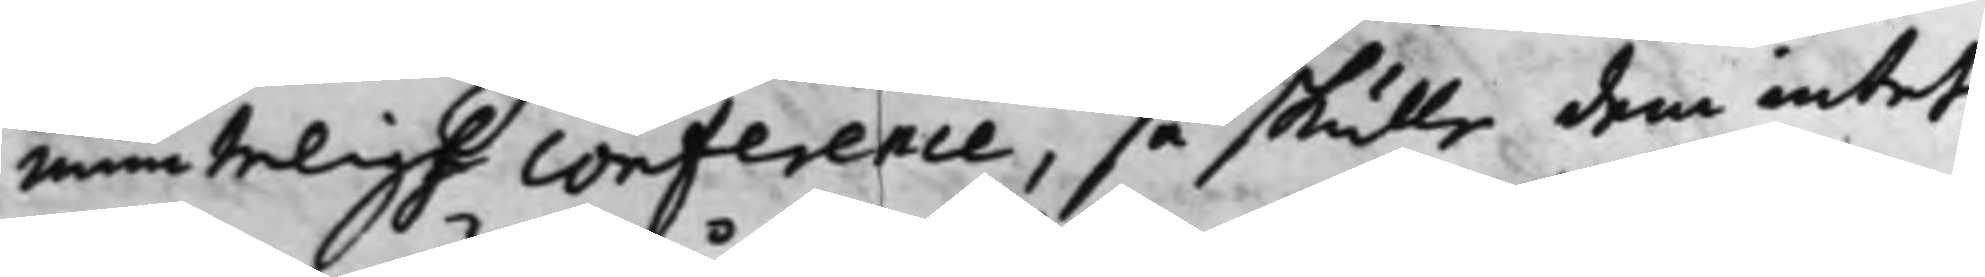munteligh Conference, så skulle dem intet
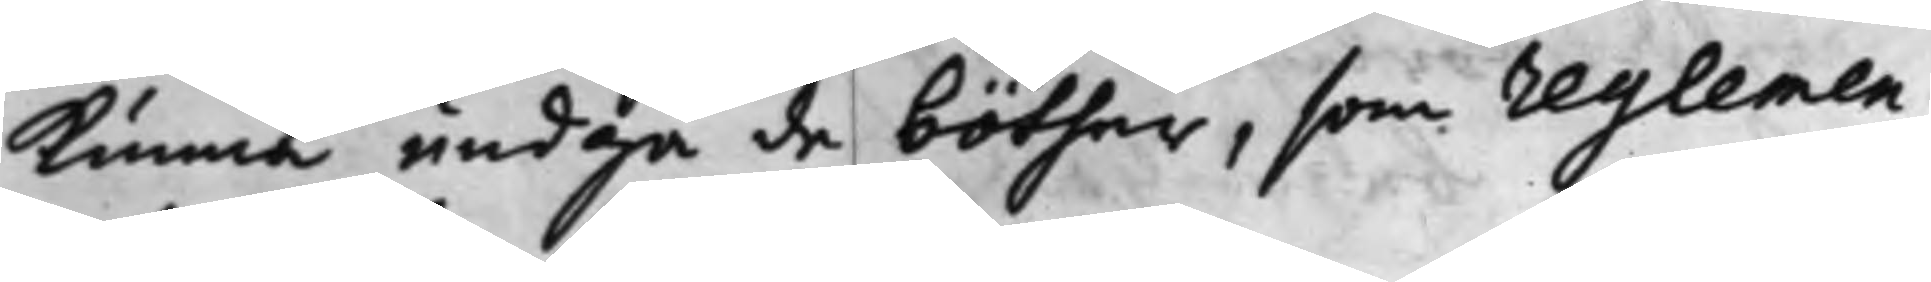Kunna undgå de böther, som reglemen¬
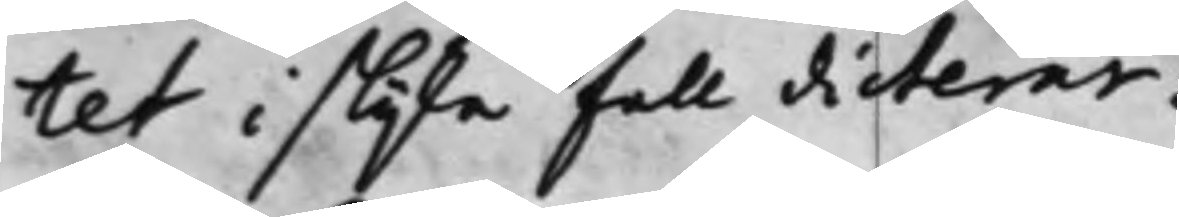tet i slijke fall dicterar.
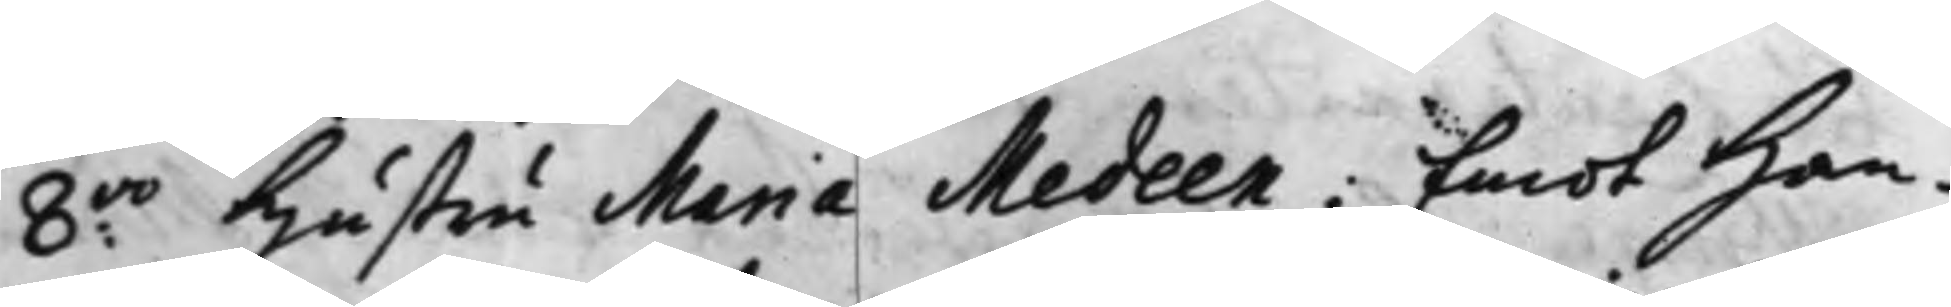8:vo Hustru Maria Medeen; Emot Han¬
